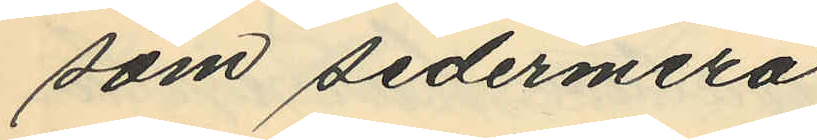som sedermera
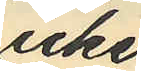icke
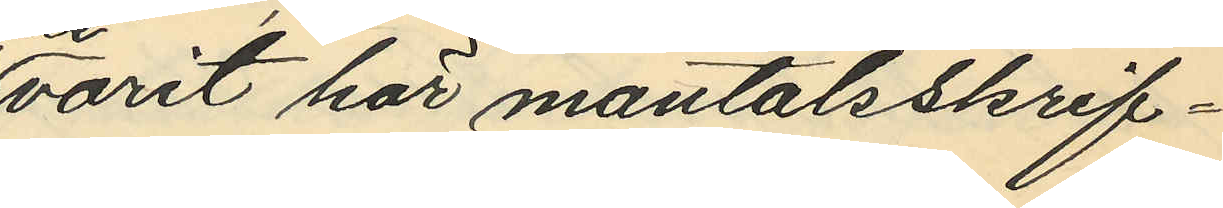varit här mantalsskrif¬
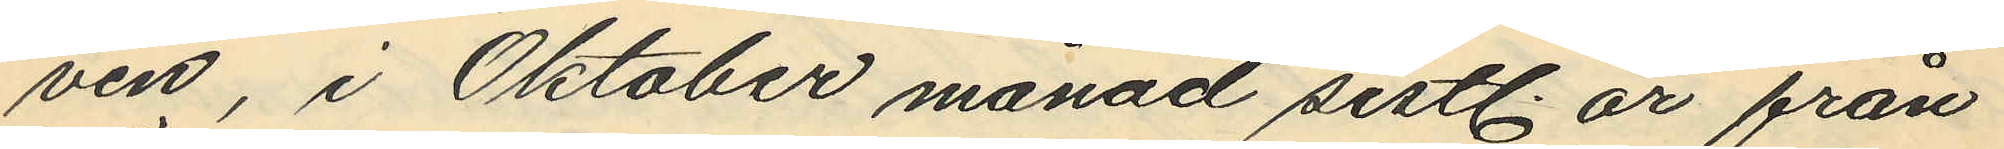ven, i Oktober månad sistl. år från
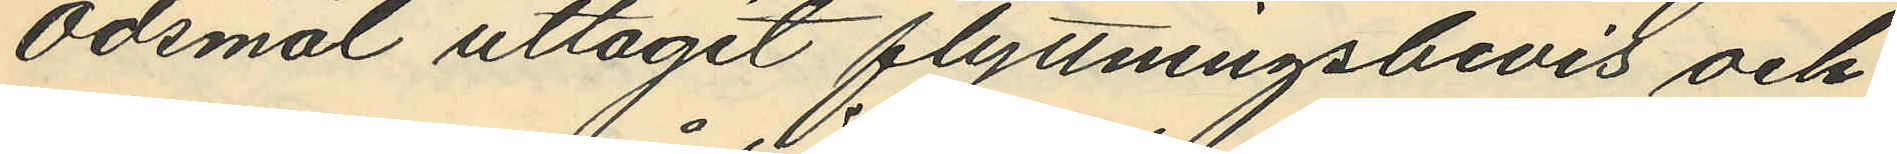Ödsmål uttagit flyttningsbevis och
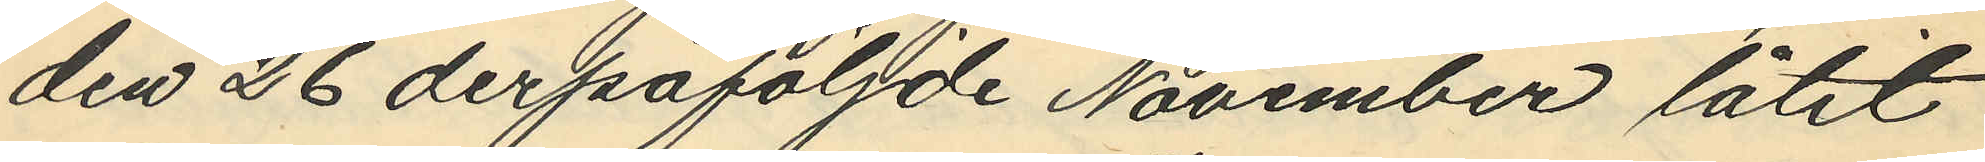den 26 derpåföljde November låtit
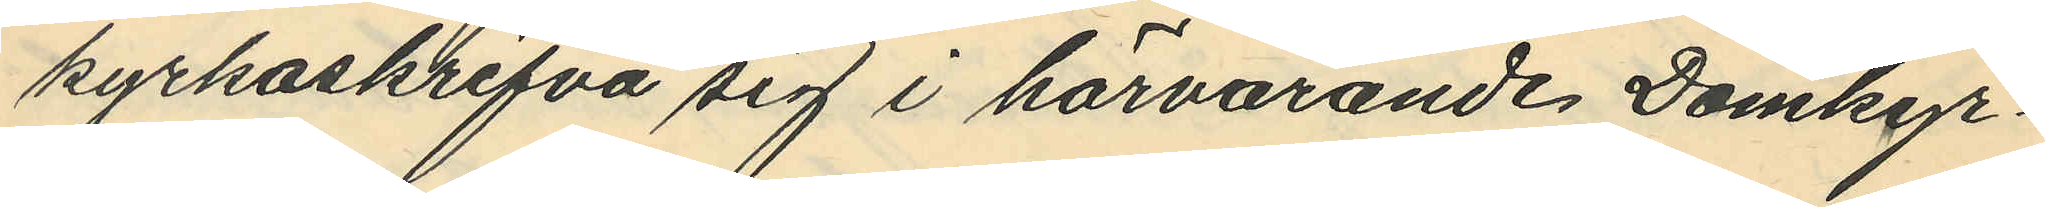kyrkoskrifva sig i härvarande Domkyr¬
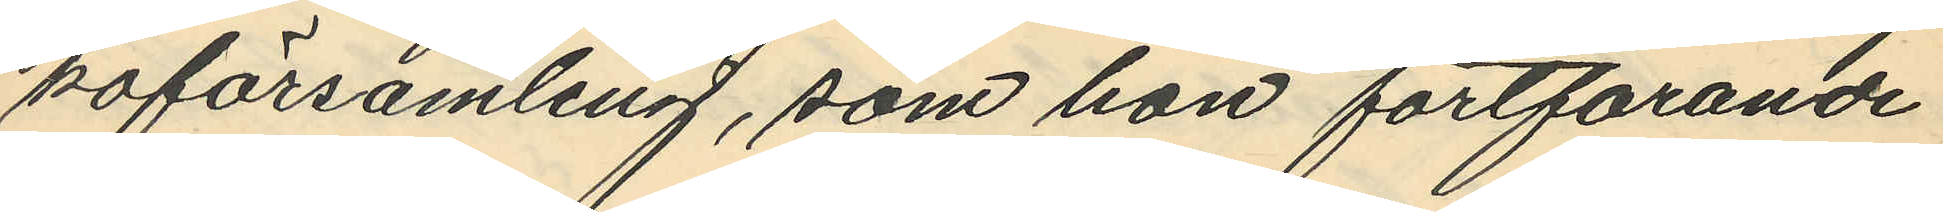koförsamling, som hon fortfarande
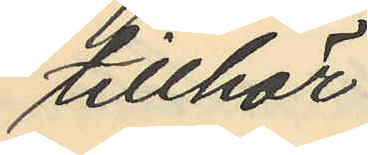tillhör.
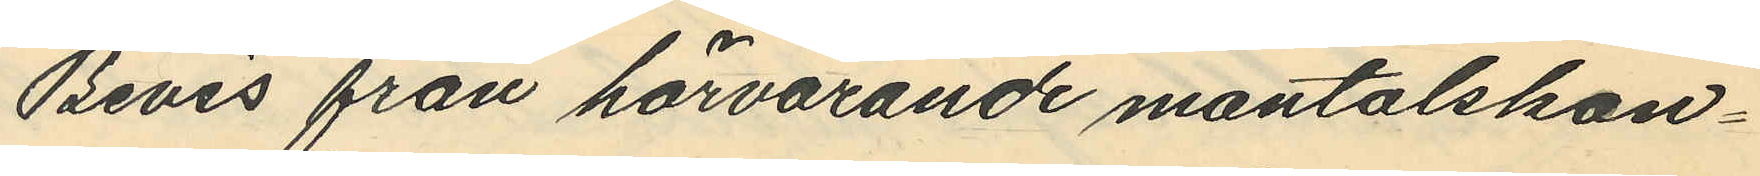Bevis från härvarande mantalskon¬
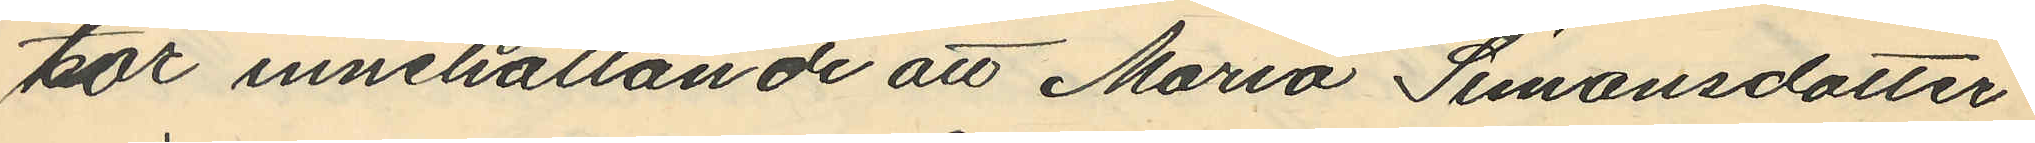tor innehållande att Maria Simonsdotter
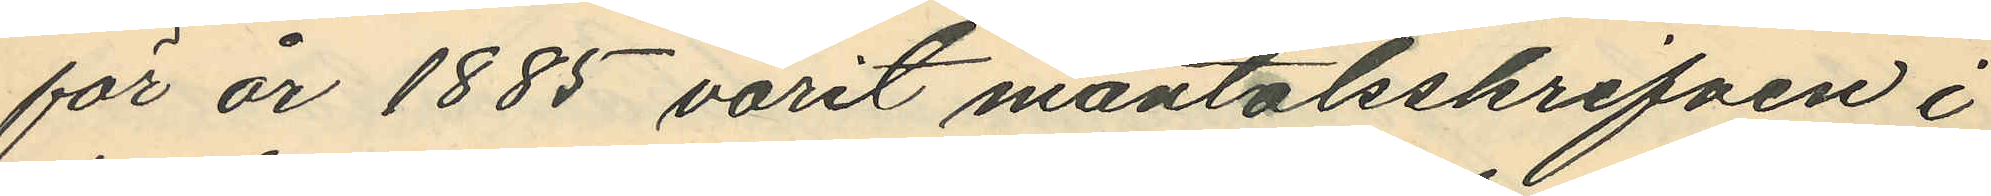för år 1885 varit mantalsskrifven i
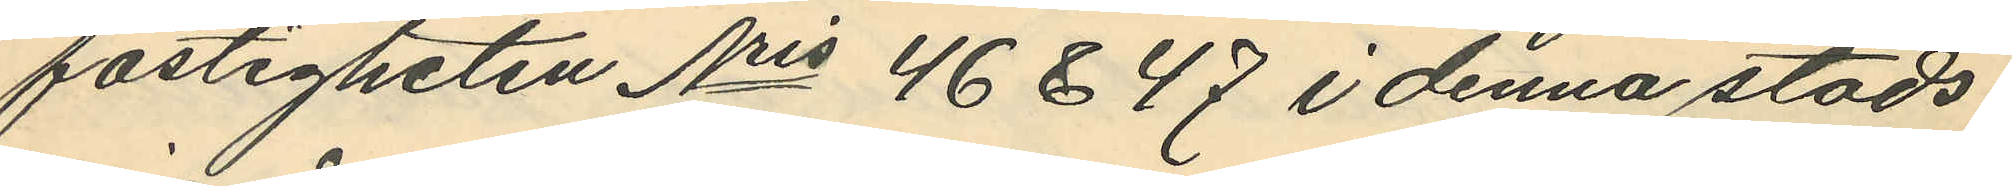fastigheten Nris 46 & 47 i denna stads
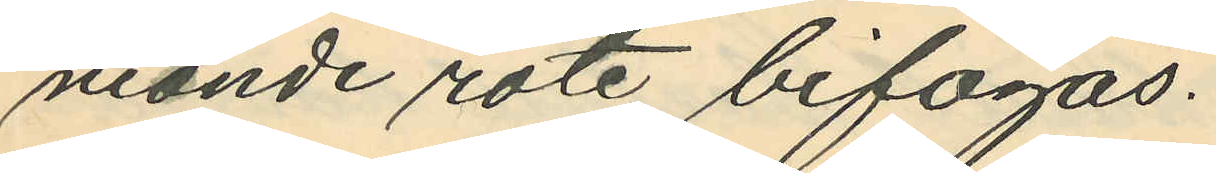nionde rote bifogas.
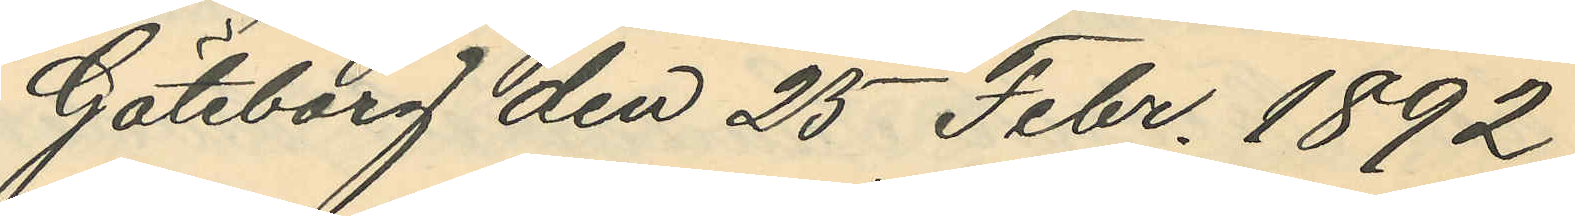Göteborg den 25 Febr. 1892.
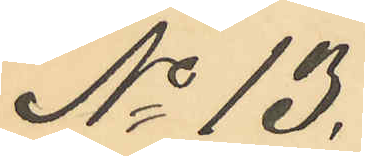No 13.
